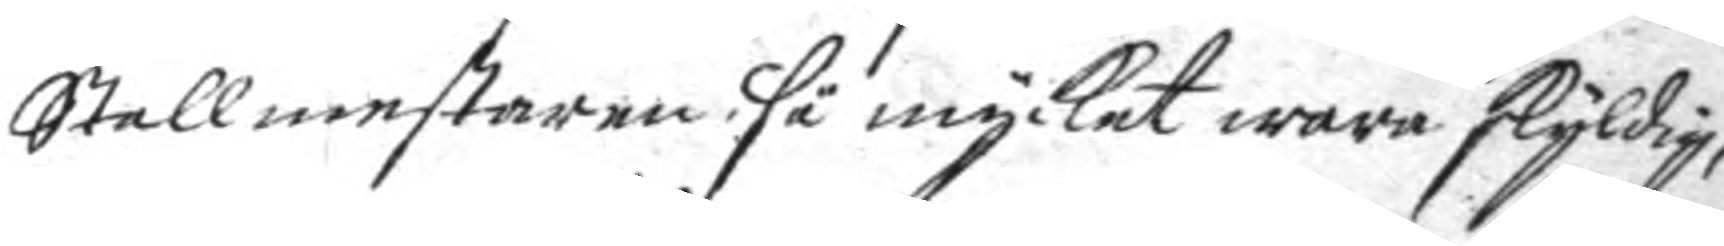Stallmestaren så mycket wara skyldig,
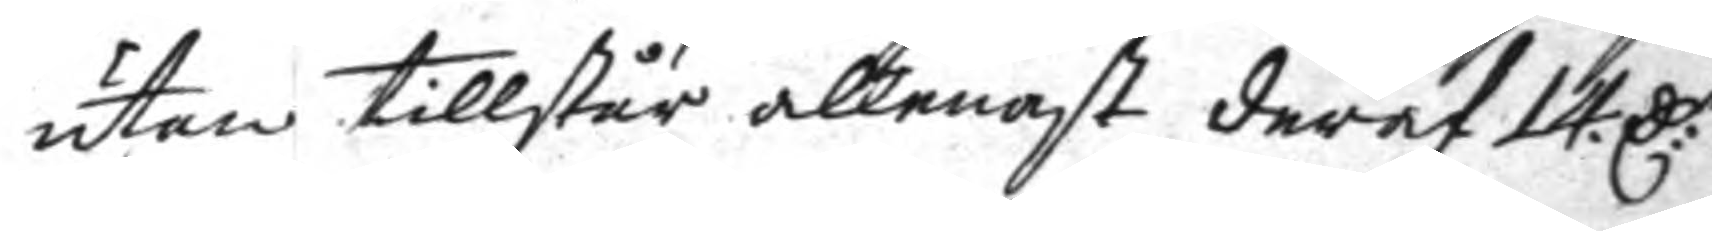utan tillstår allenast deraf 14. C:r
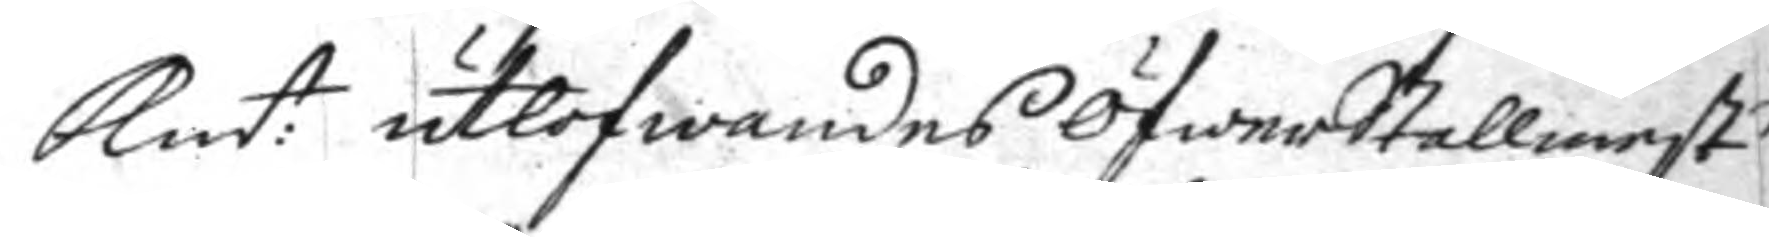Kmt: utlofwandes Öfwerstallmest:n
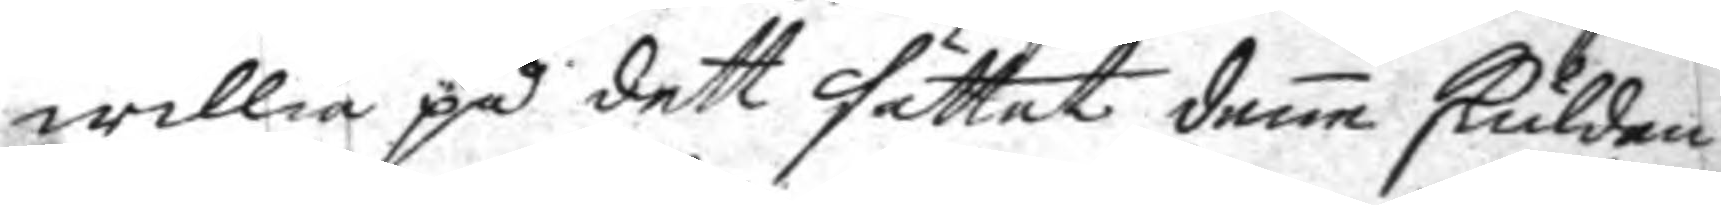willia på dett sättet dene skulden
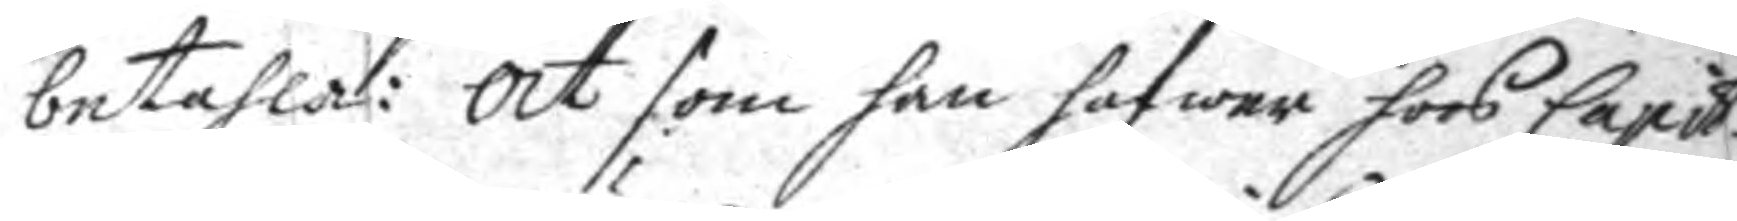betahla: at som han hafwer hoos Capit:n
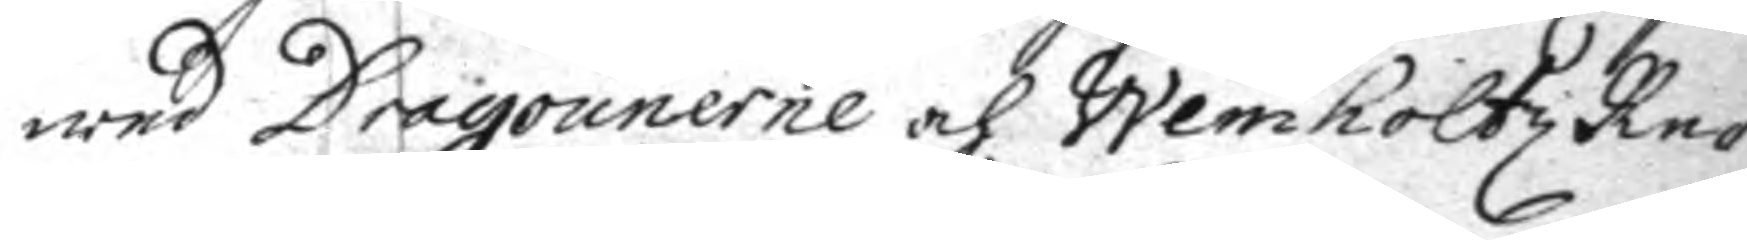wed Dragounerne och Weimholtz Re¬
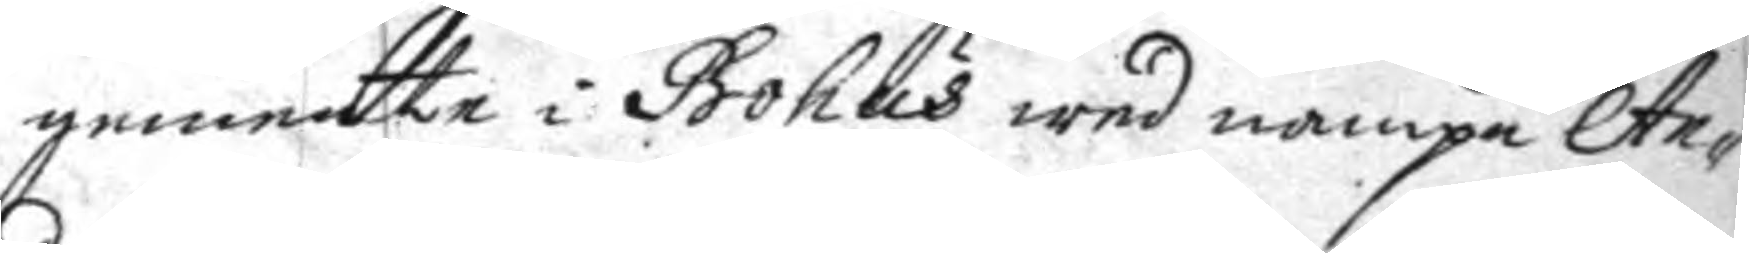gemente i Bohus wed nampn An¬
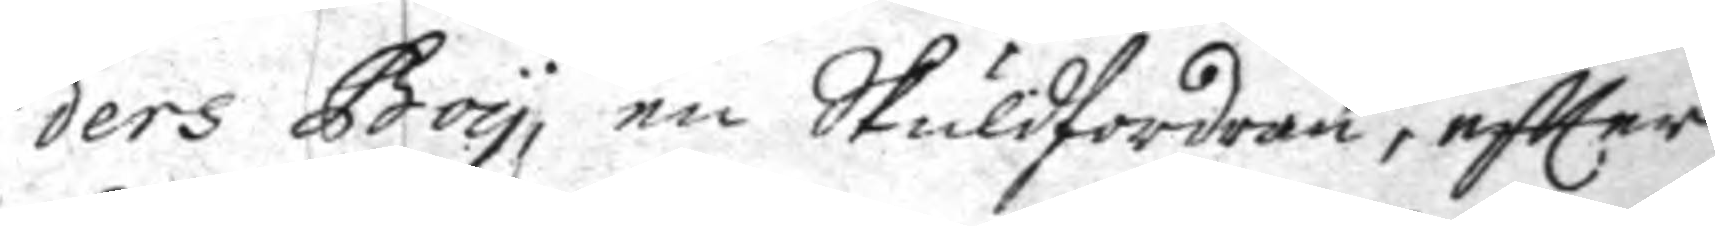ders Boy, en Skuldfordran, eftter
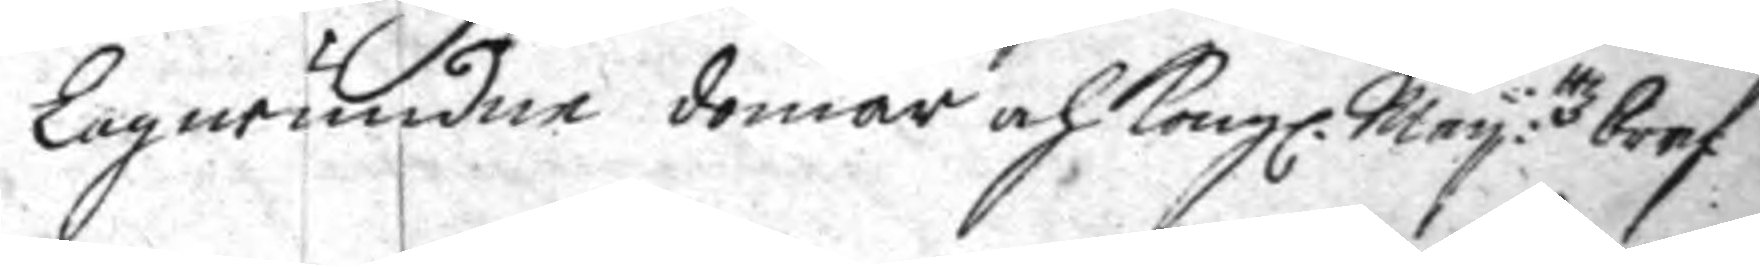Lagwundne domar och Kongl. May:ttz bref
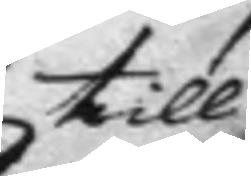till
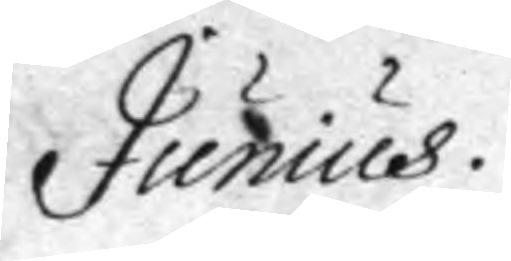Junius.
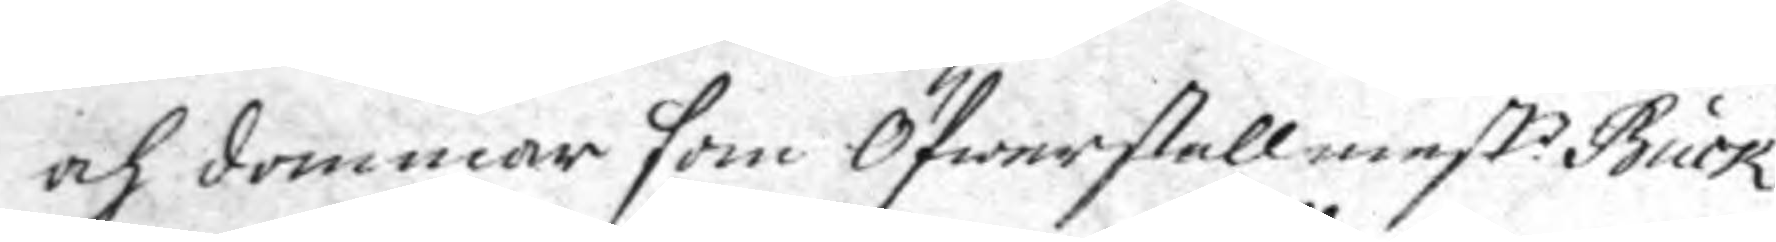och dommar som Öfwerstallmest:n Buck
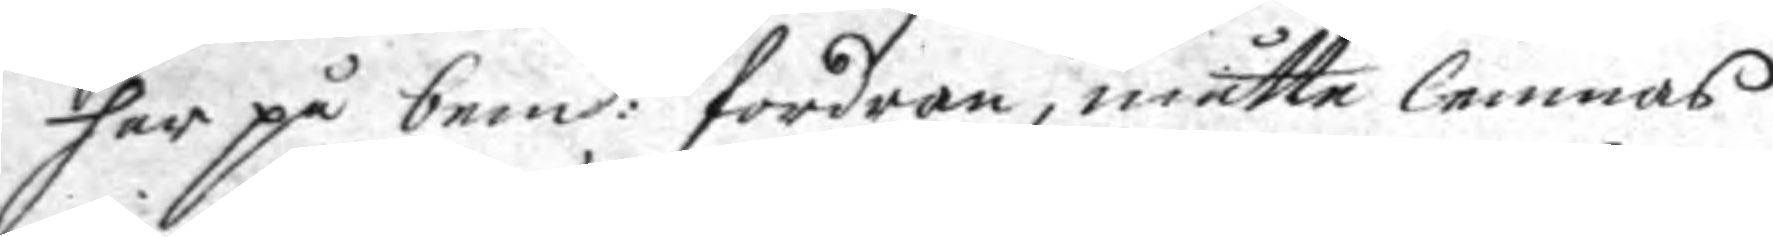har på bem:te ordran, måtte lemnas
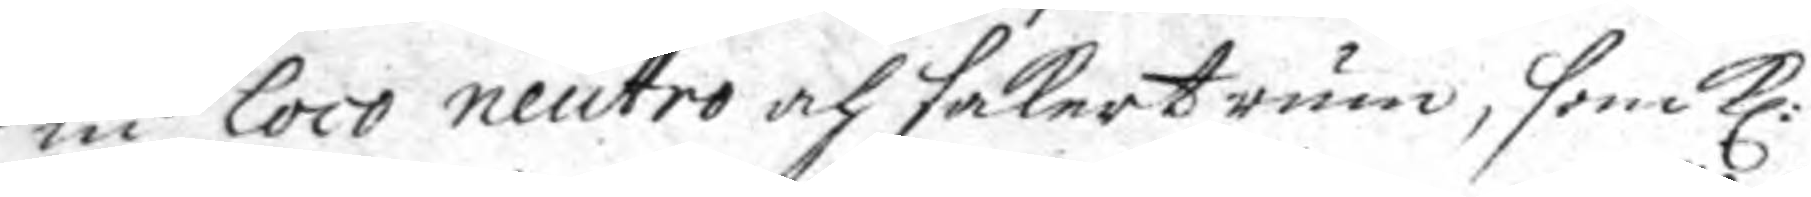in loco neutro och sakert rum, som Kl:
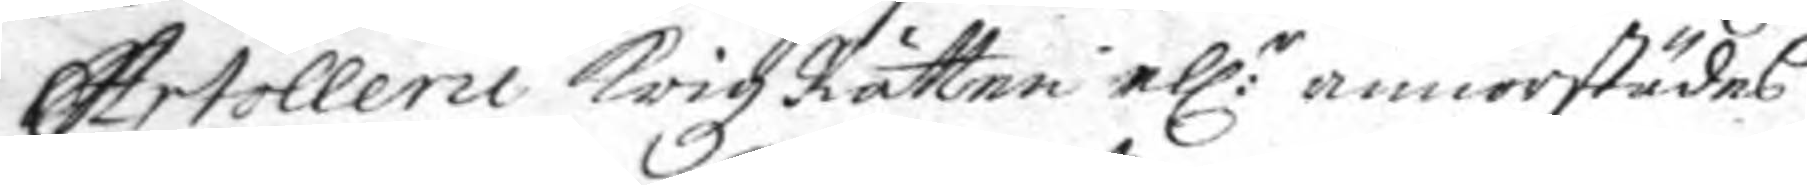Artollerie KrigzRätten ell:r annorstädes
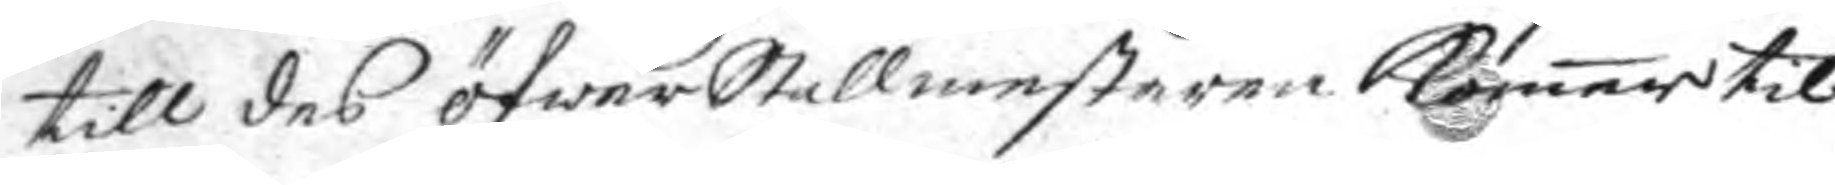till des öfwerStallmestaren komer til
